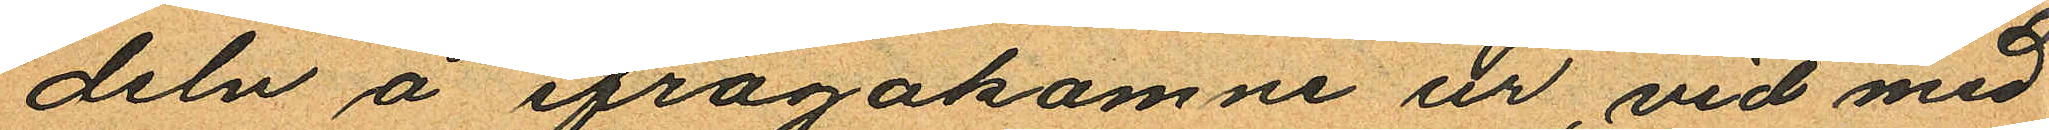deln å frågakomne ur, vid med
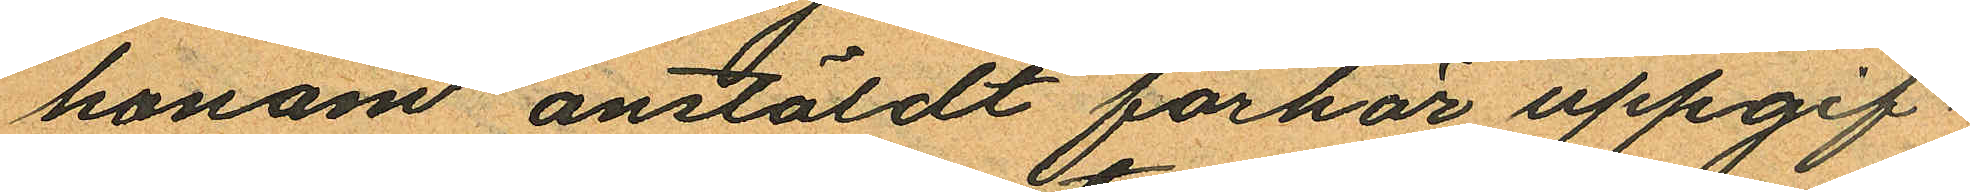honom anstäldt förhör uppgif¬
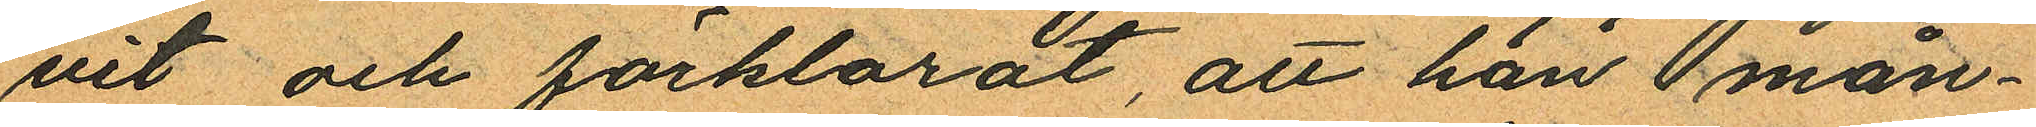vit och förklarat, att han mån¬
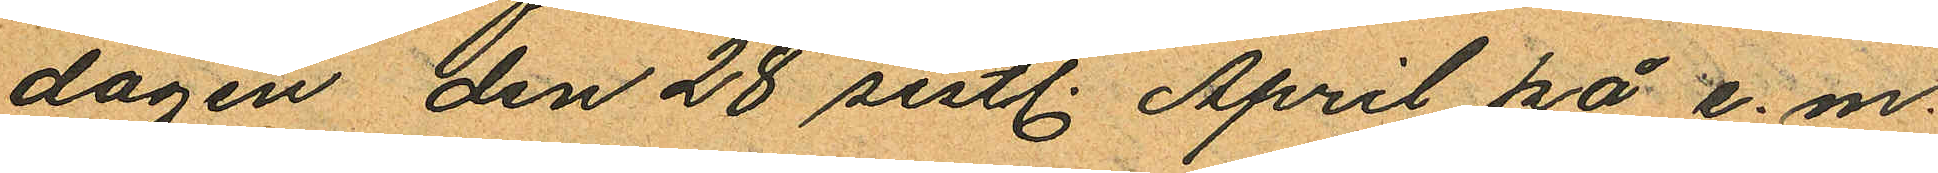dagen den 28 sistl. April på e.m.
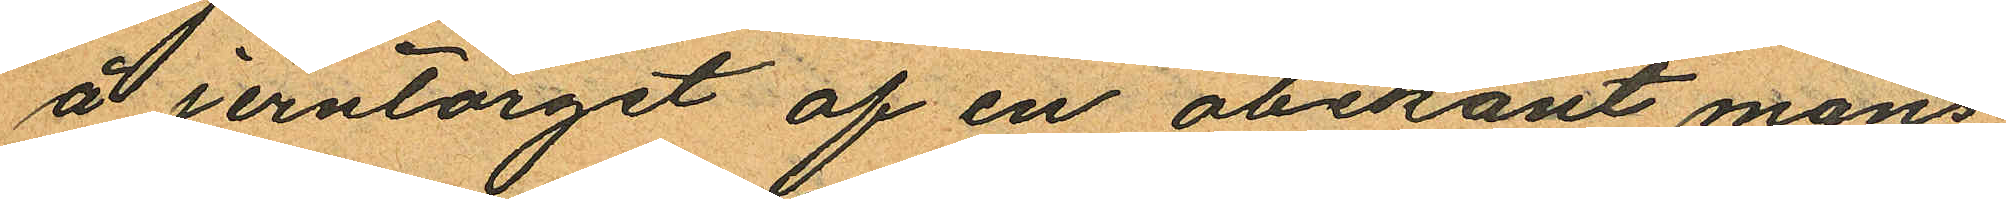å Jerntorget af en obekant mans¬
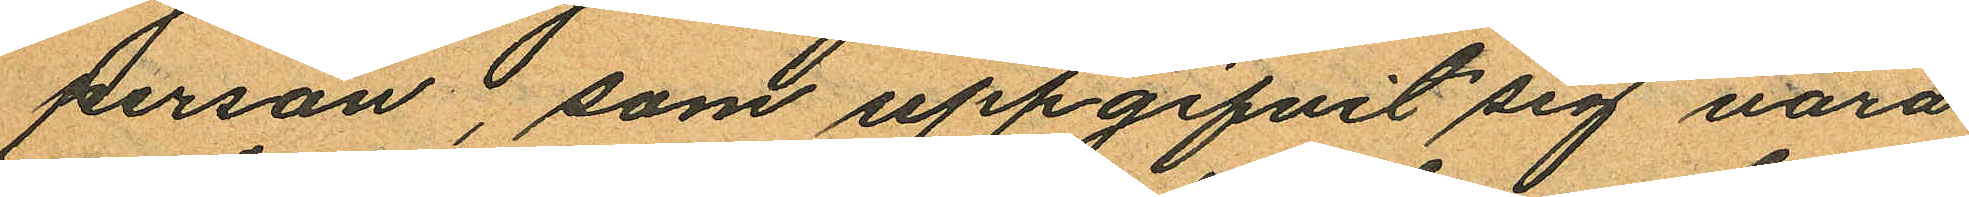person, som uppgifvit sig vara
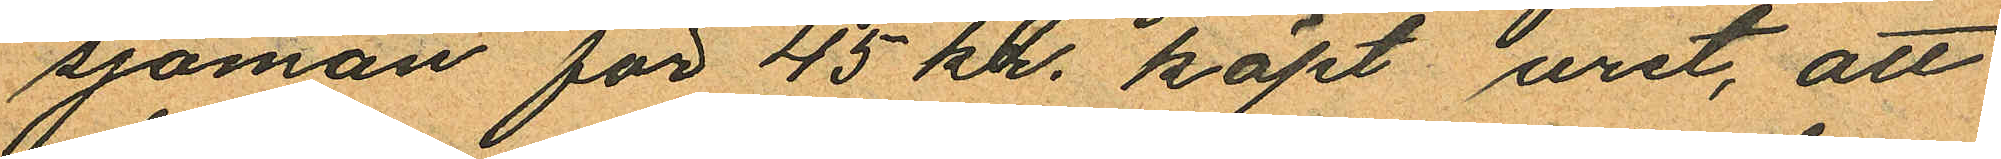sjöman för 45 kr. köpt uret, att
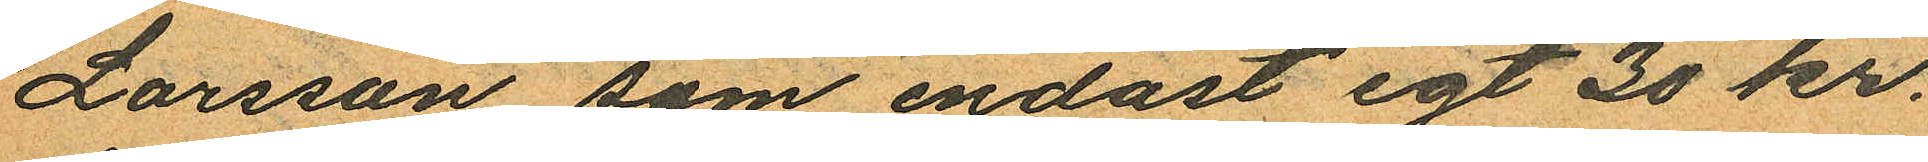Larsson som endast egt 30 kr.
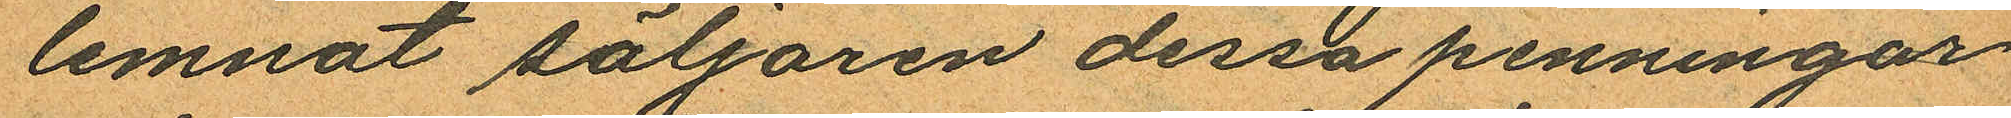lemnat säljaren dessa penningar
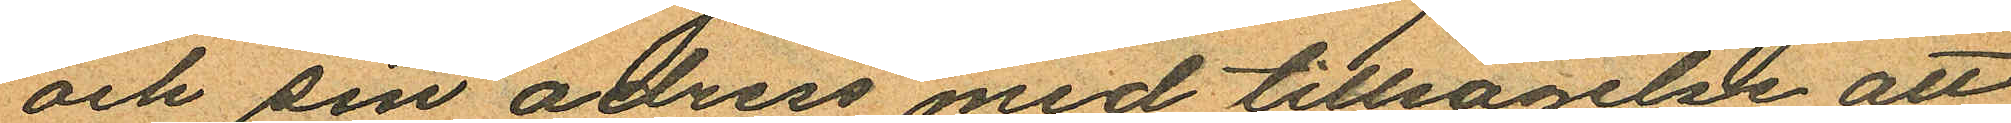och sin adress med tillsägelse att
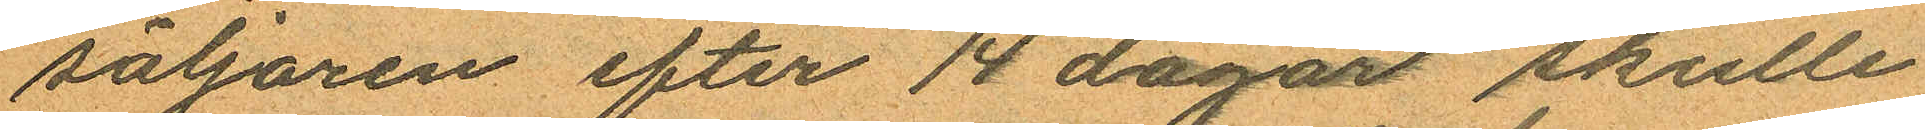säljaren efter 14 dagar skulle
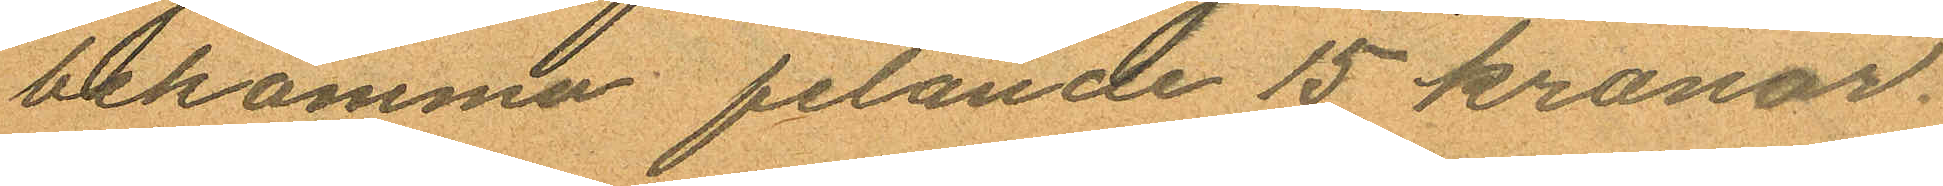bekomma felande 15 kronor.
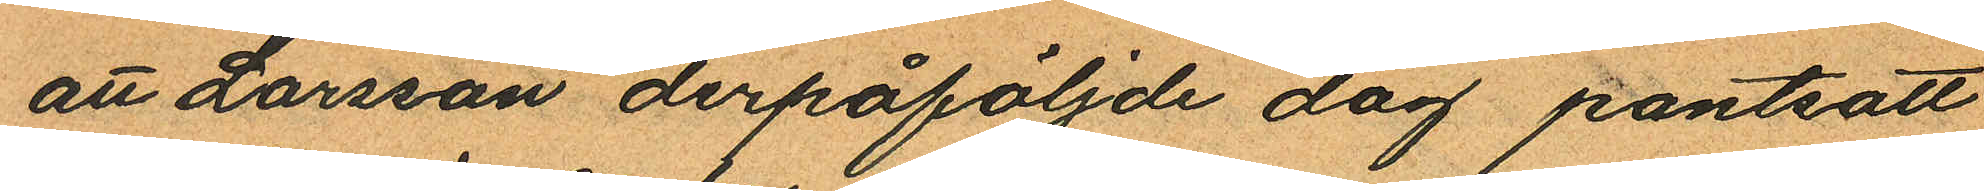att Larsson derpåföljde dag pantsatt
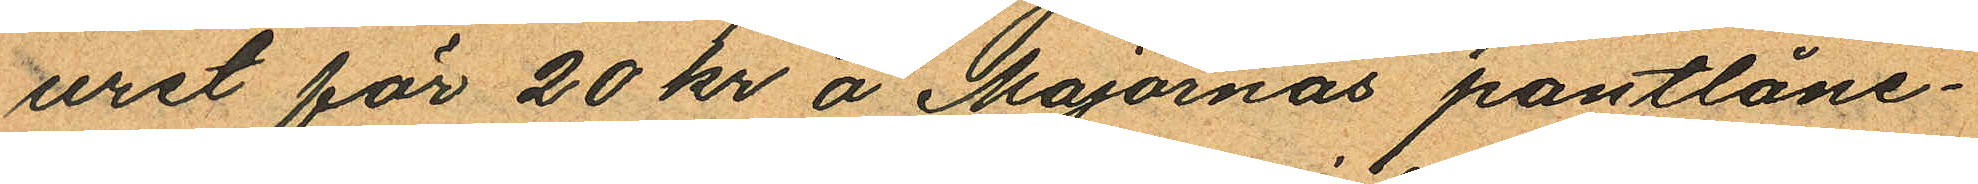uret för 20 kr å Majornas pantlåne¬
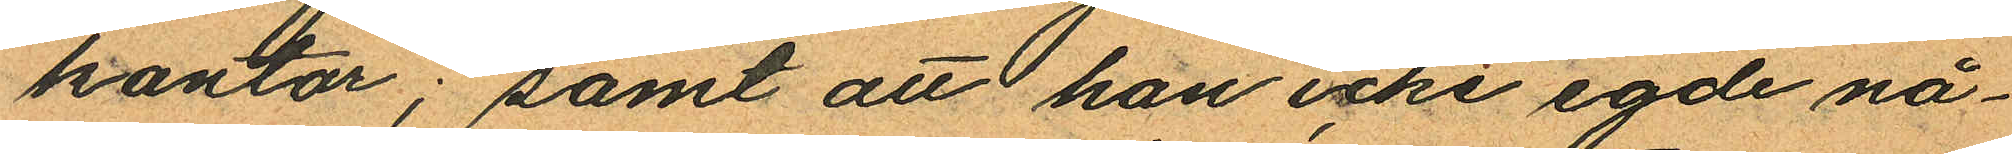kontor; samt att han icke egde nå¬
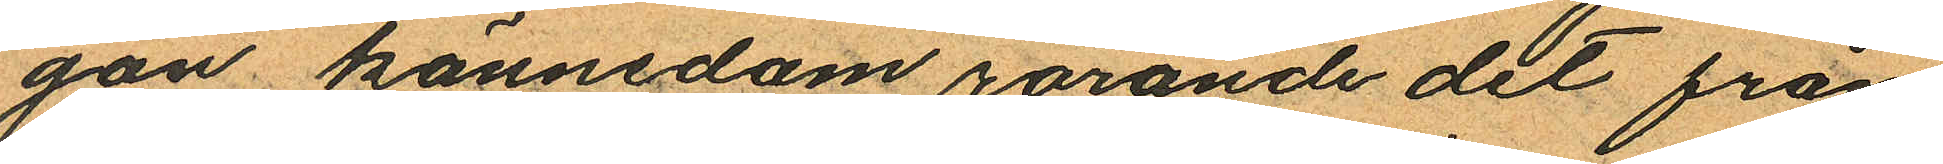gon kännedom rörande det från
